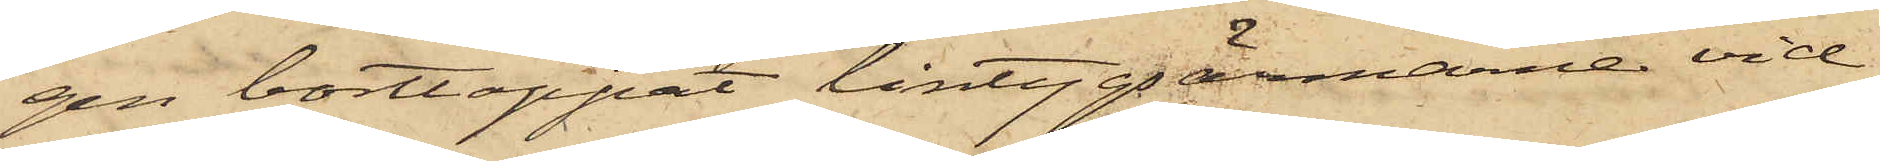gen borttappat lintygsärmarna vid
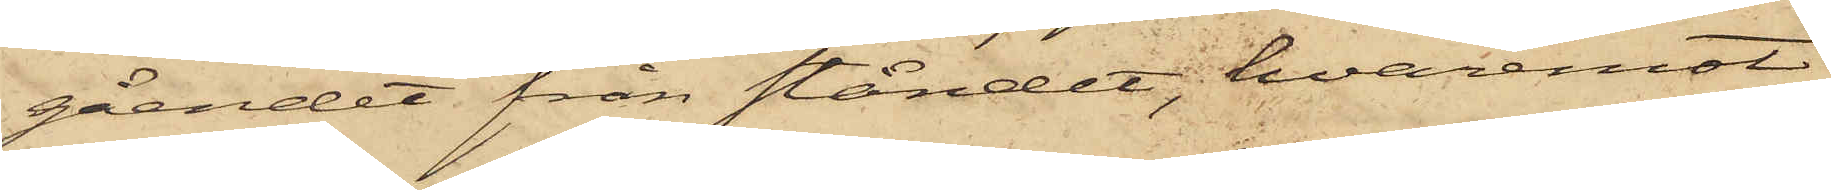gåendet från ståndet, hvaremot
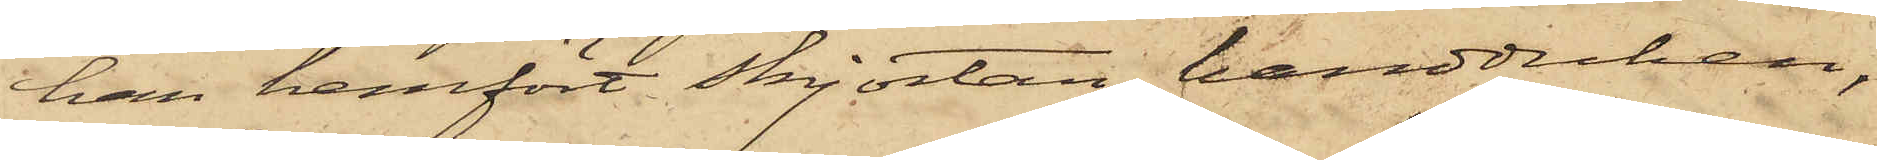han hemfört skjortan, handduken,
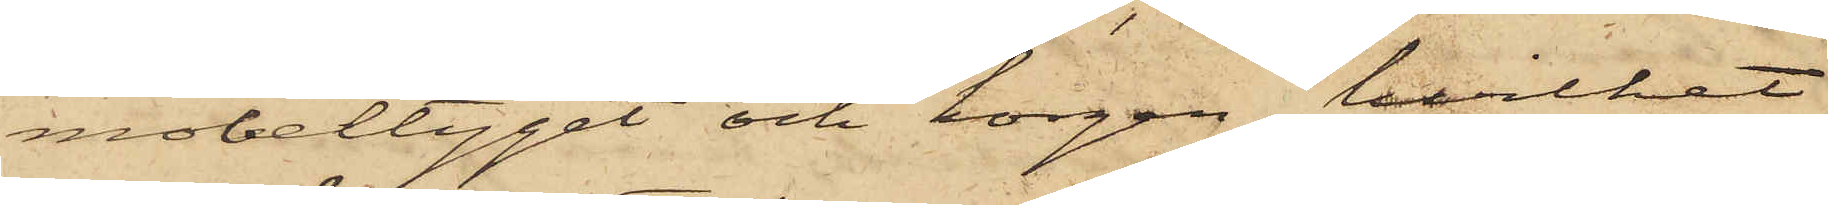möbeltyget och korgen, hvilket
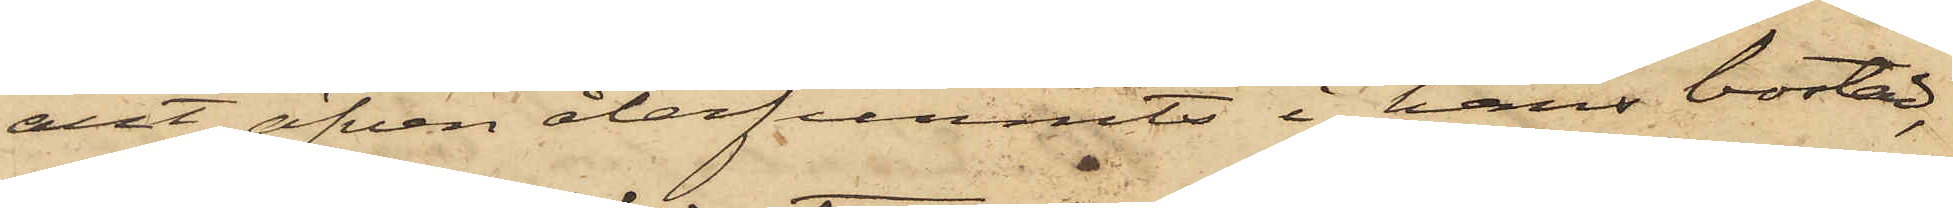allt äfven återfunnits i hans bostad,
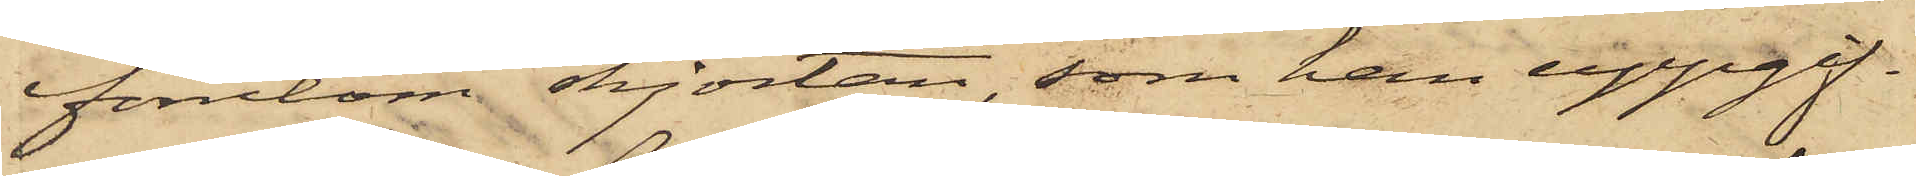förutom skjortan, som han uppgif¬
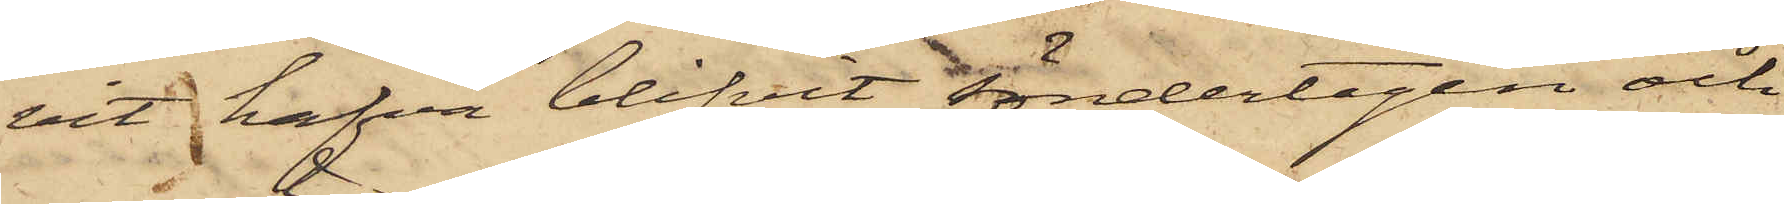vit hafva blifvit söndertagen och
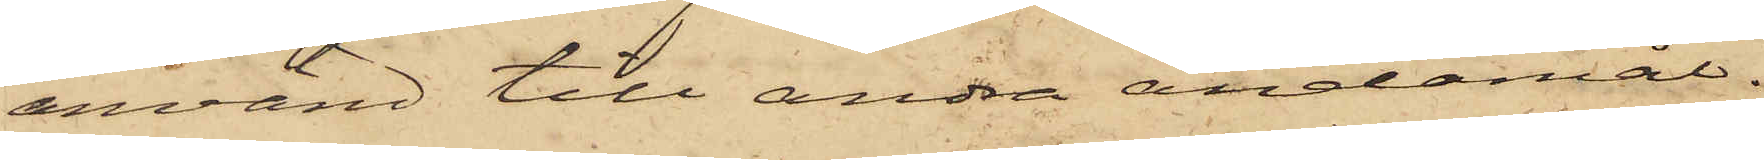använd till andra ändamål.
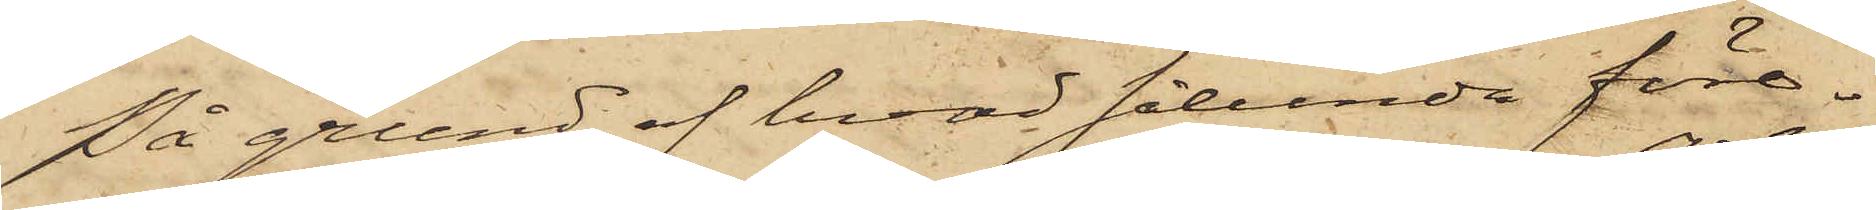På grund af hvad sålunda före¬
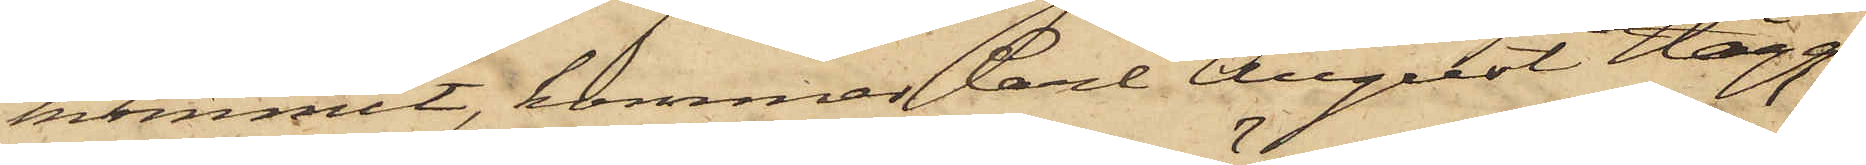kommit, kommer Carl August Hägg,
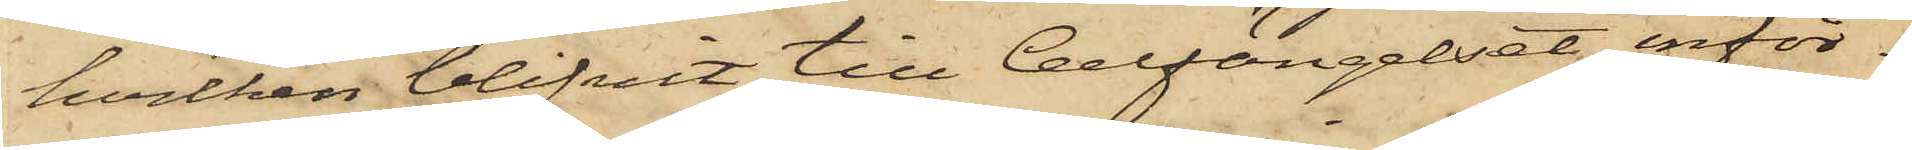hvilken blifvit till Cellfängelset inför¬
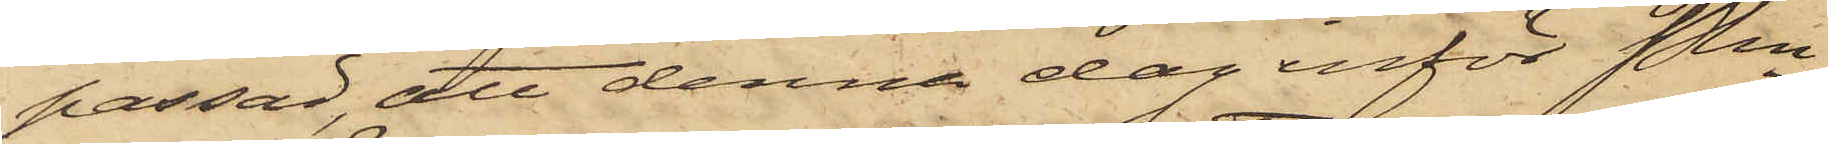passad, att denna dag inför Pkn
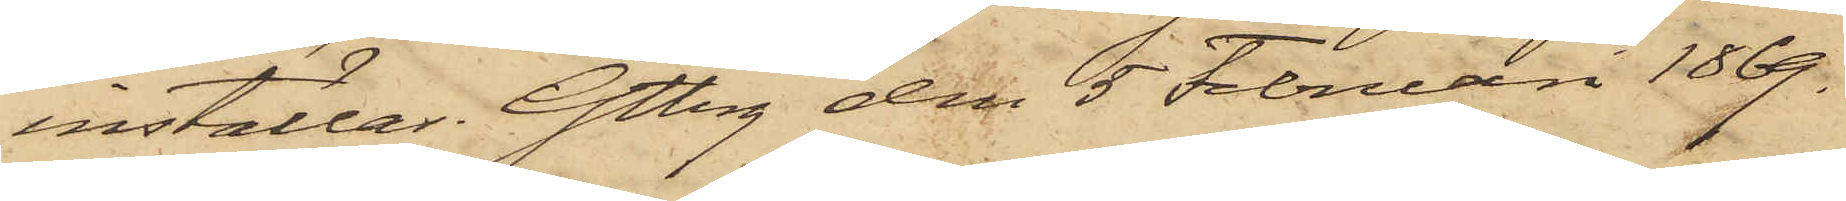inställas. Gtbrg den 5 Februari 1869.
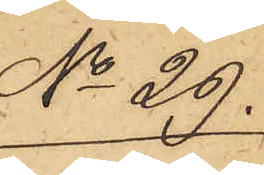No 29.
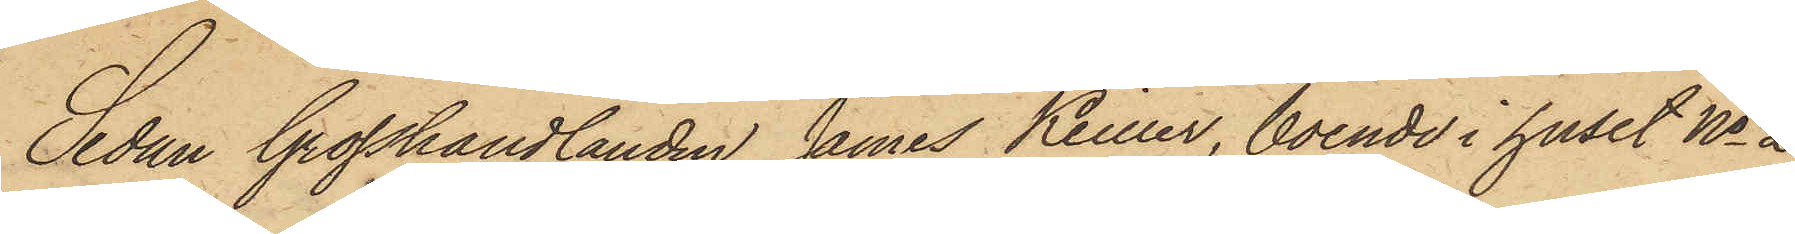Sedan Grosshandlanden James Keiller, boende i huset No 2
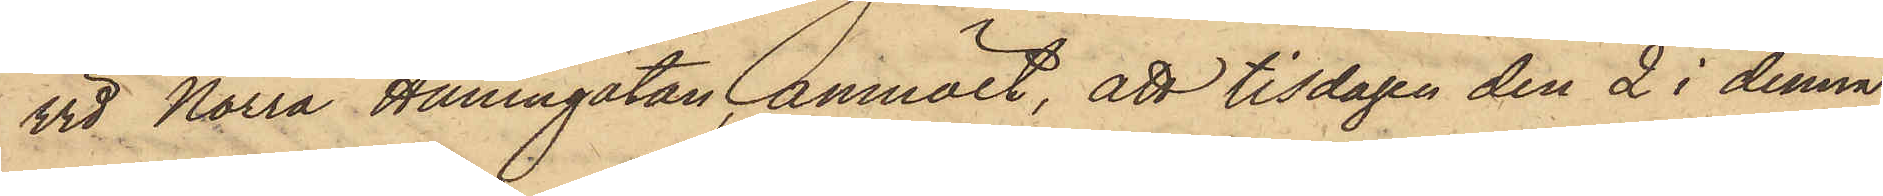vid Norra Hamngatan anmält, att tisdagen den 2 i denna
